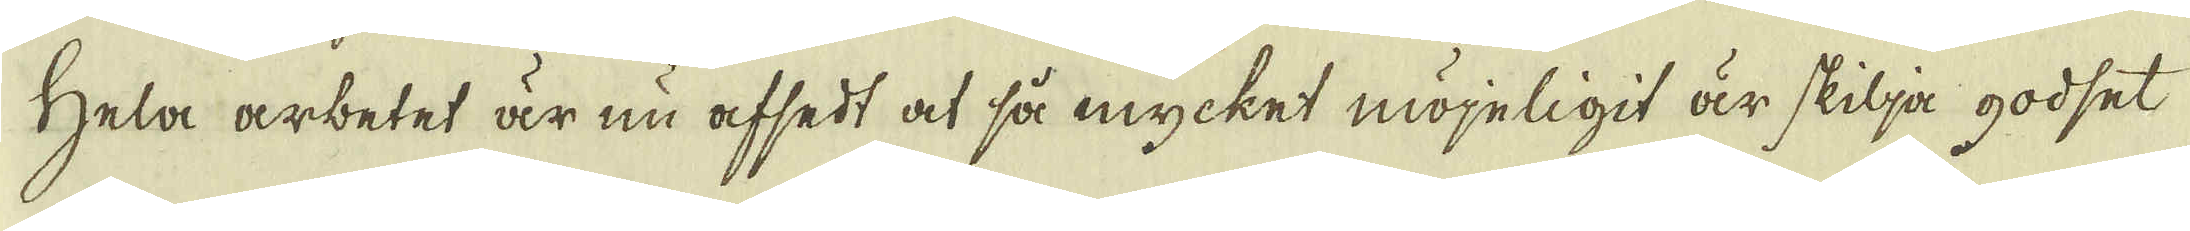Hela arbetet är nu afsedt at så mycket möjeligit är skilja godset
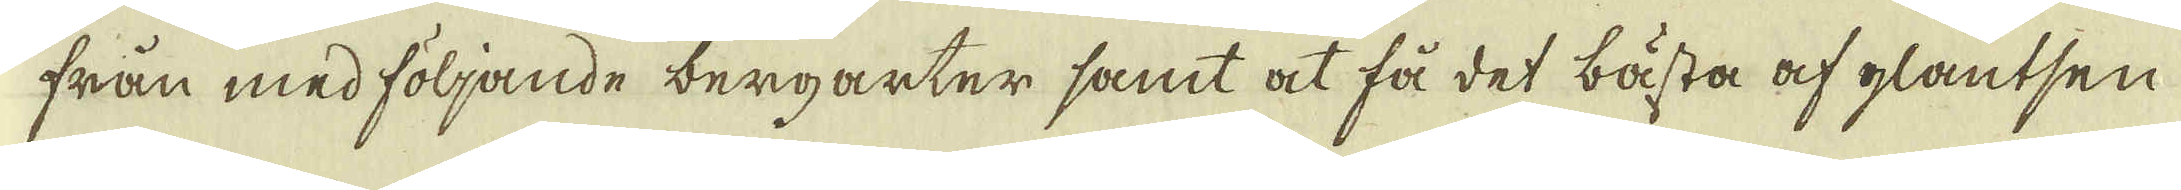från med följande bergarter samt at få det bästa af glantsen
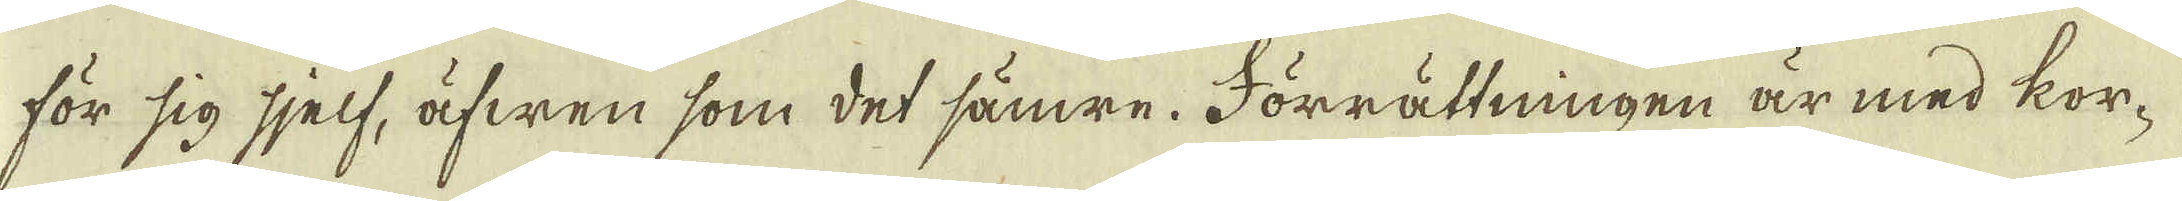för sig sjelf, äfwen som det sämre. Förrättningen är med kor-
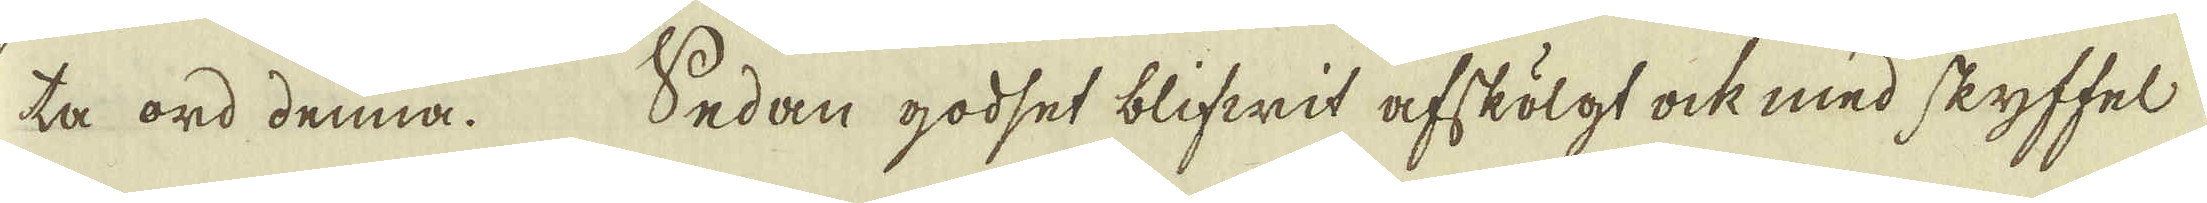ta ord denna. Sedan godset blifwit afskölgt ock med skyffel-
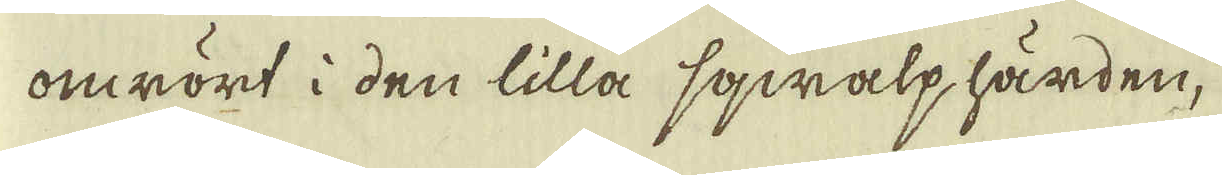omrört i den lilla sqwalphärden,
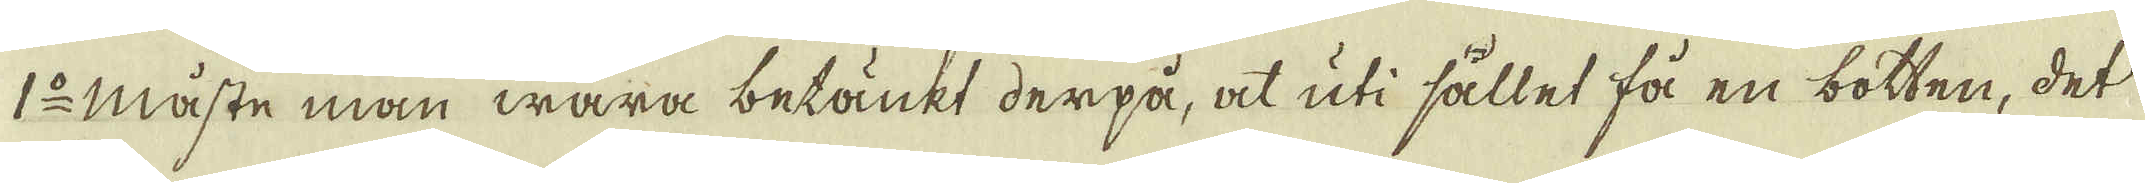1:o måste man wara betänkt derpå, at uti sållet få en botten, det
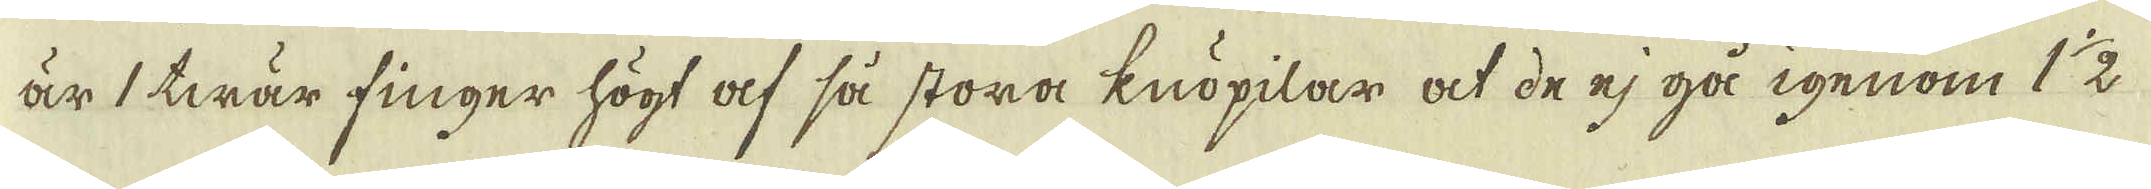är 1 twär finger högt af så stora knöpilar at de ej gå igenom 1 1/2
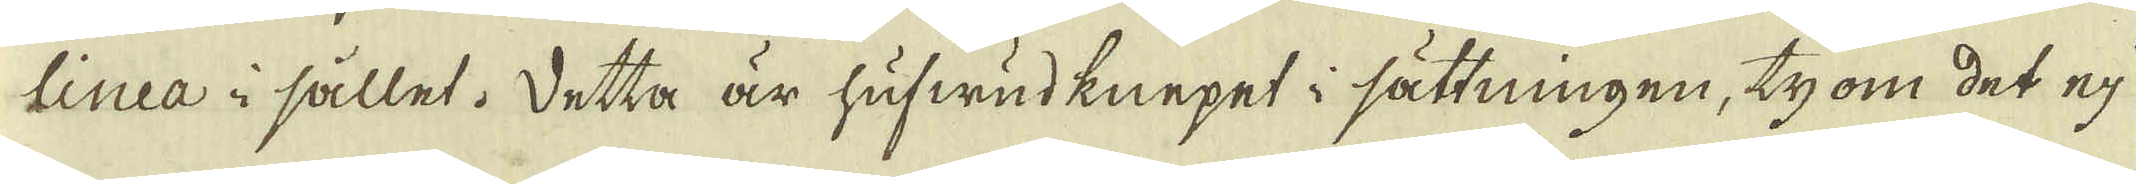linea i sållet. Detta är hufwudknepet i sättningen, ty om det ej
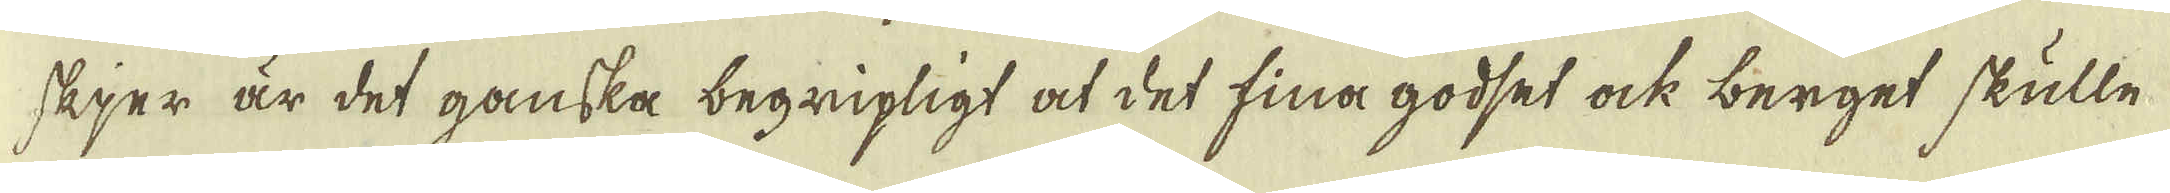skjer är det ganska begripligt at det fina godset ock berget skulle
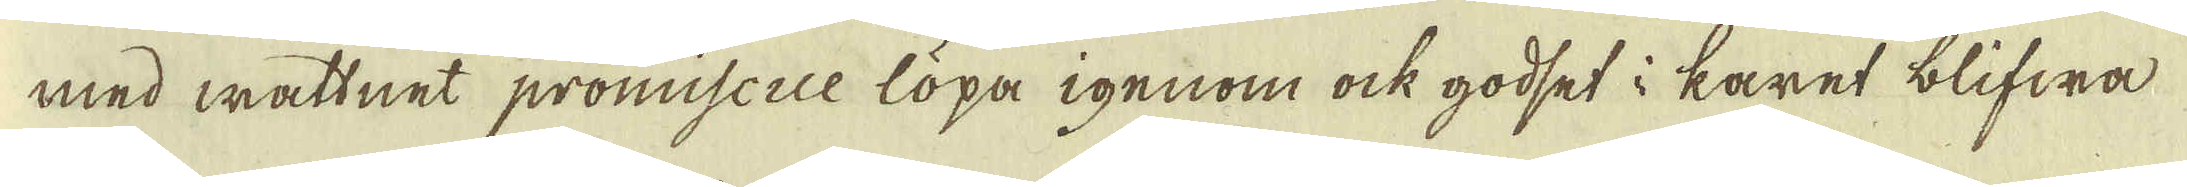med wattnet promiscue löpa igenom ock godset i karet blifwa
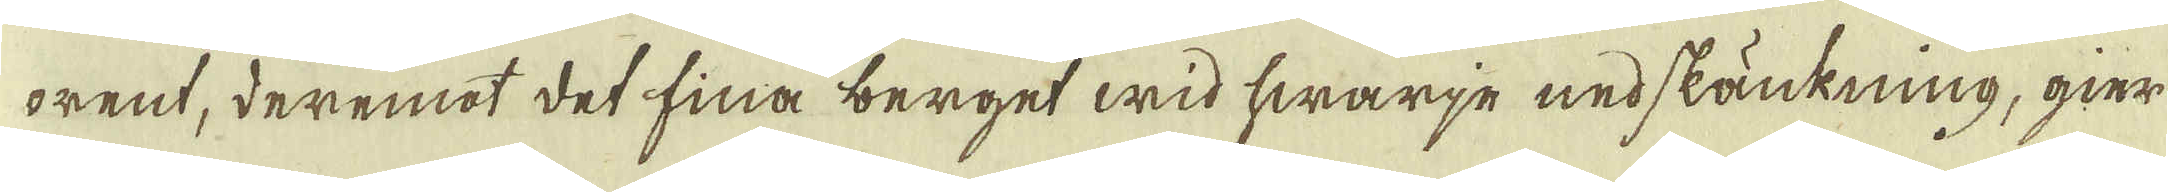orent, deremot det fina berget wid hwarje nedskänkning, gier
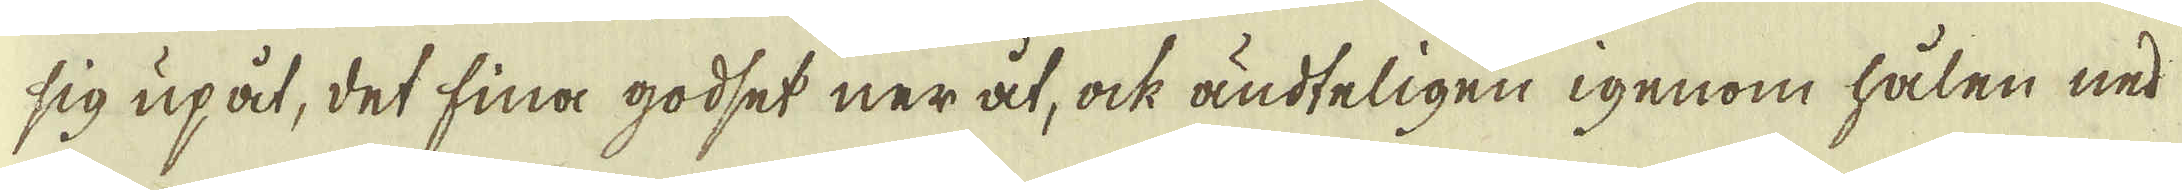sig upåt, det fina godset ner åt, ock ändteligen igenom hålen ned
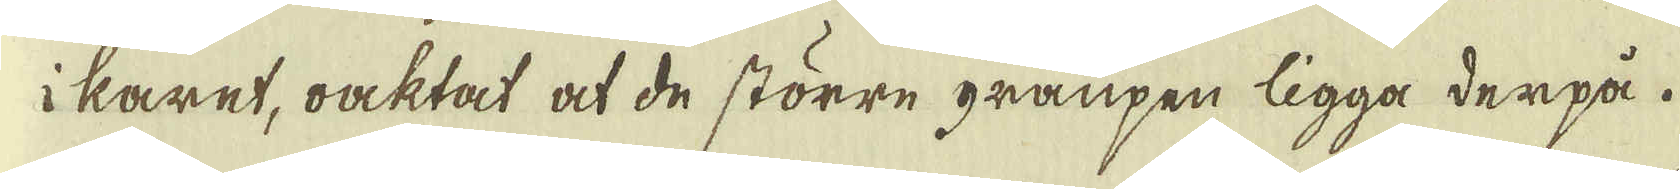i karet, oacktat at de större granpen ligga derpå.
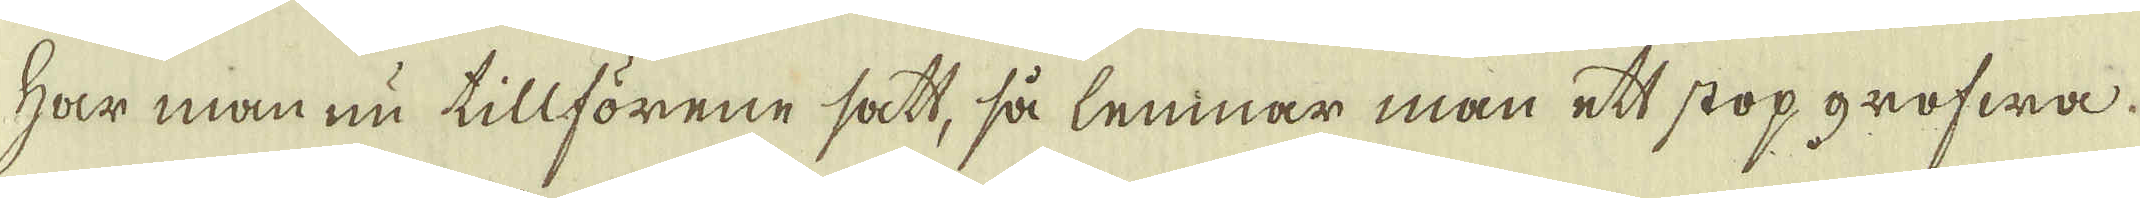Har man nu tillförene satt, så lemnar man ett stop grofwa.
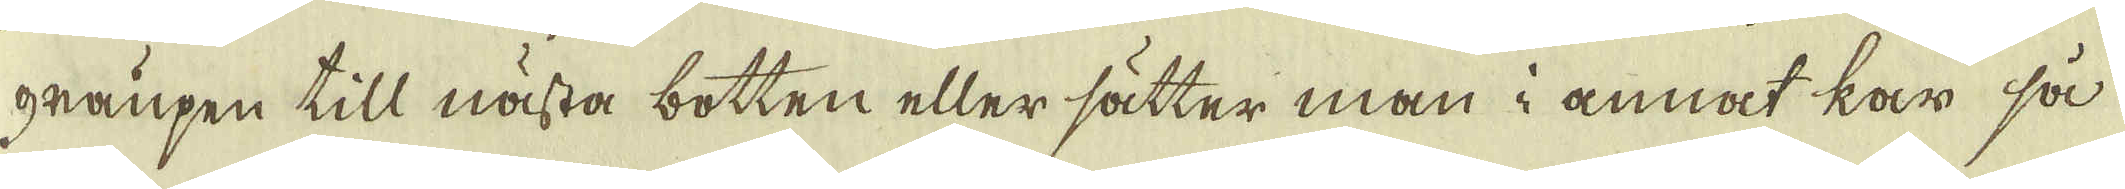graupen till nästa botten eller sätter man i annat kar så
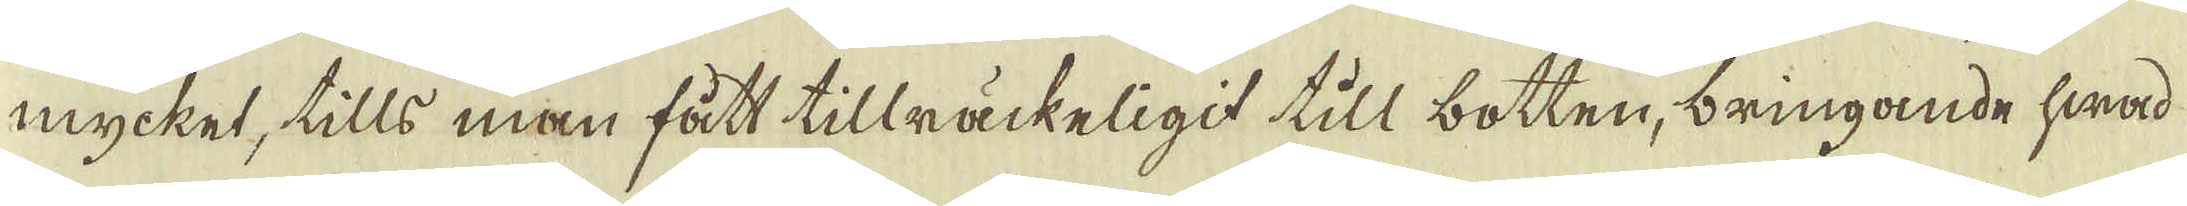mycket, tills man fått tillräckeligit till botten, bringande hwad
